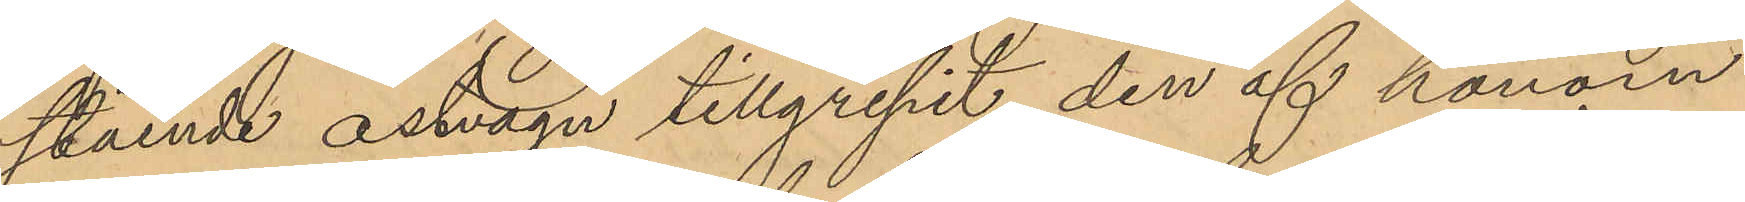stående ostvagn tillgripit den af honom
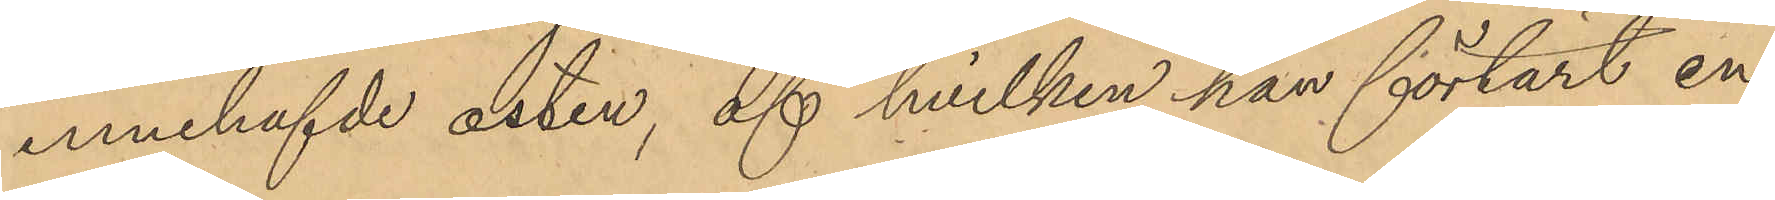innehafvde osten, af hvilken han förtärt en
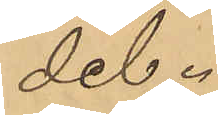del.
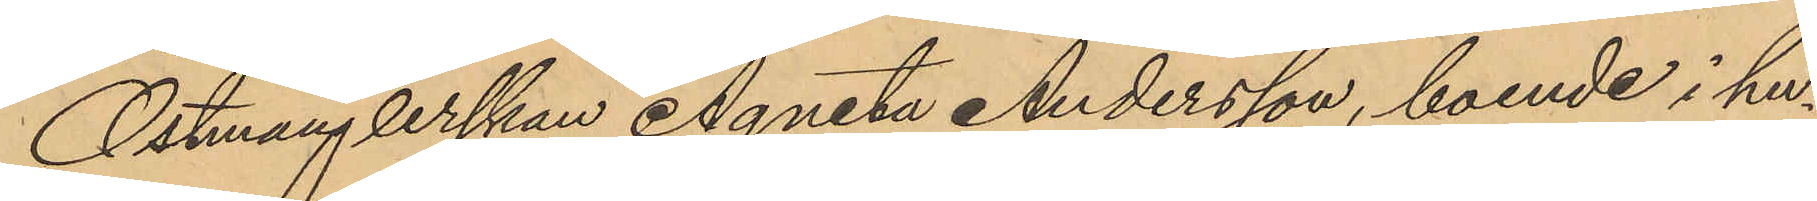Ostmånglerskan Agneta Andersson, boende i hu¬
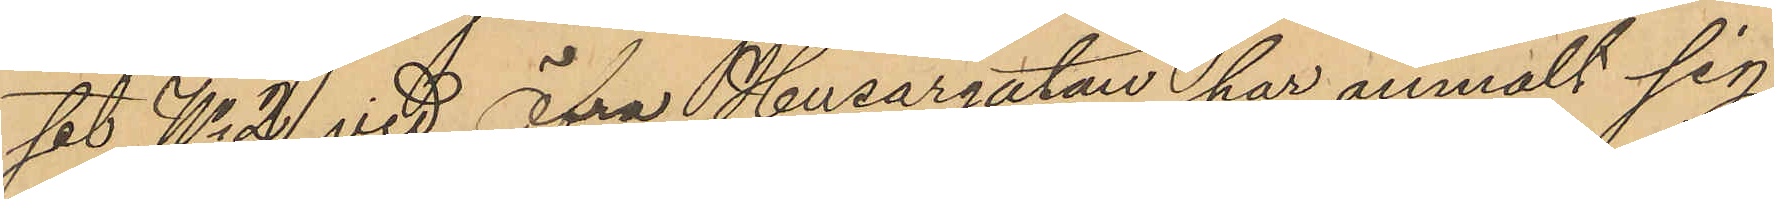set No 2 vid Öfra Husargatan har anmält sig
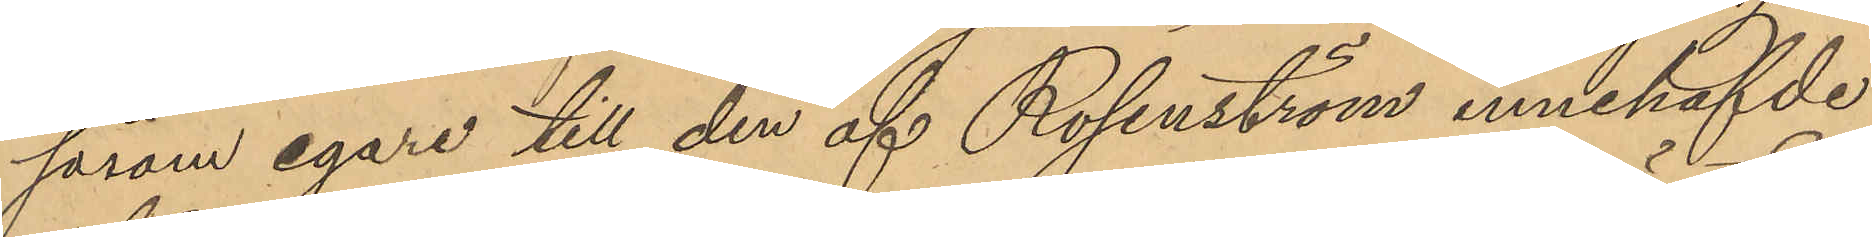såsom egare till den af Rosenström innehafvde
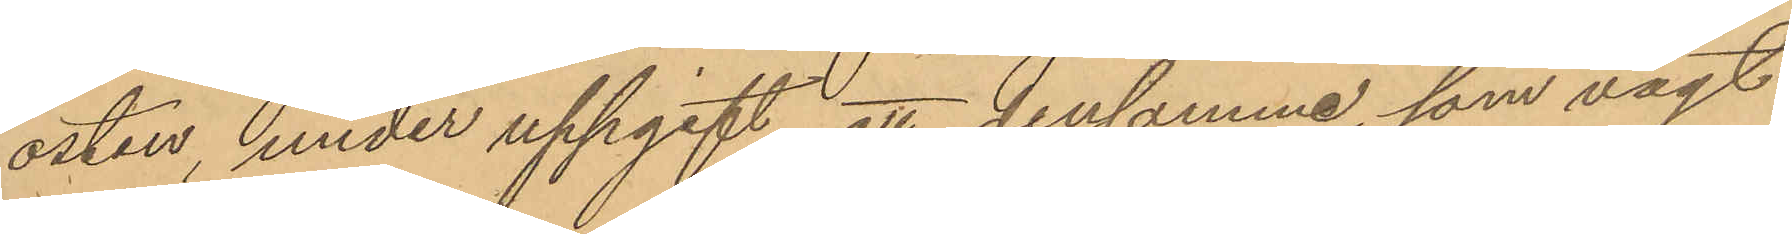osten, under uppgift, att densamma, som vägt
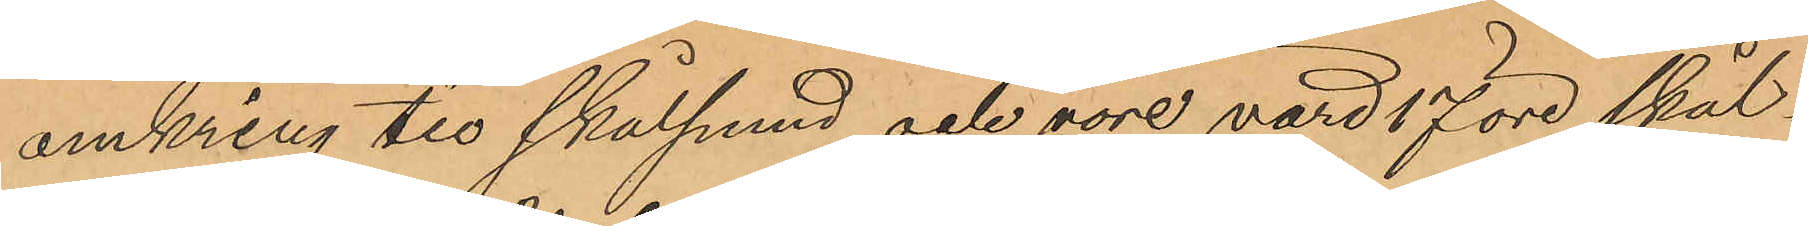omkring tio skålpund och vore värd 17 öre skål¬
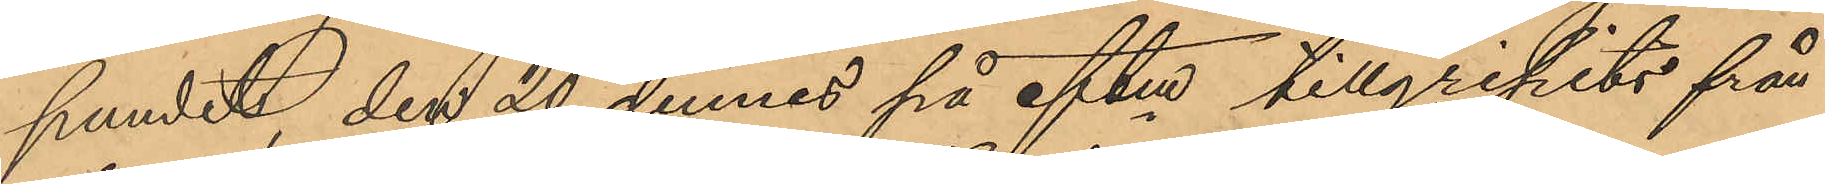pundet, den 20 dennes på eftm tillgripits från
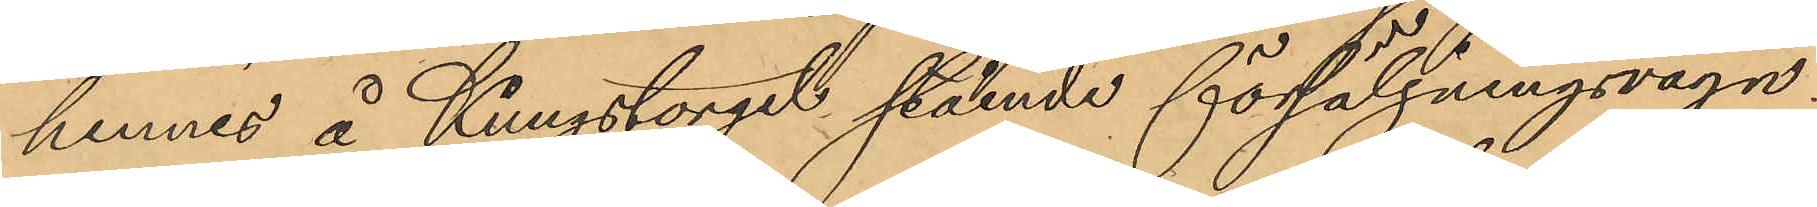hennes å Kungstorget stående försäljningsvagn.
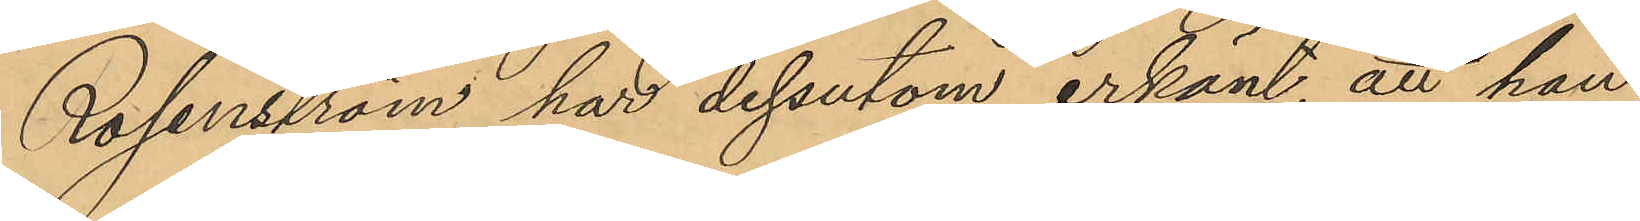Rosenström har dessutom erkänt, att han
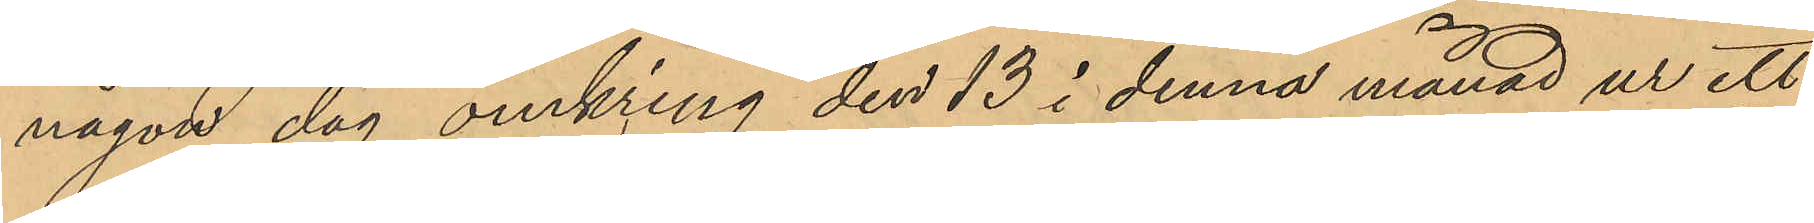någon dag omkring den 13 i denna månad ur ett
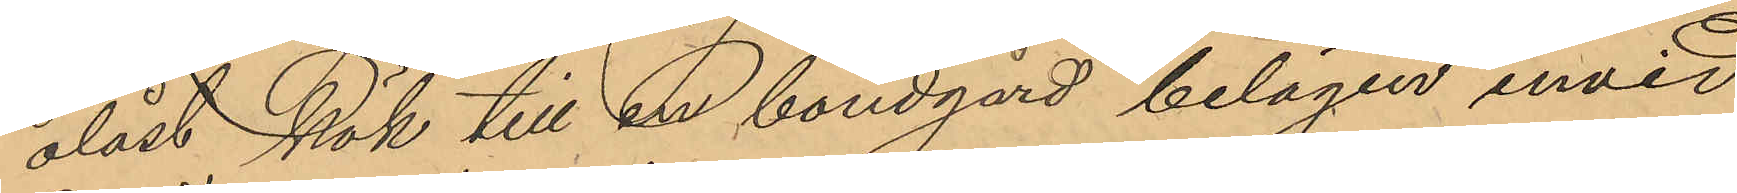olåst kök till en bondgård belägen invid
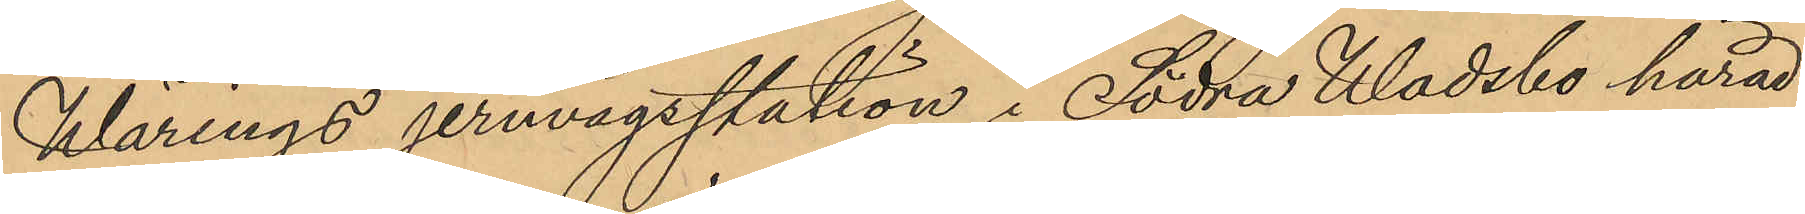Wärings jernvägsstation i Södra Wadsbo härad
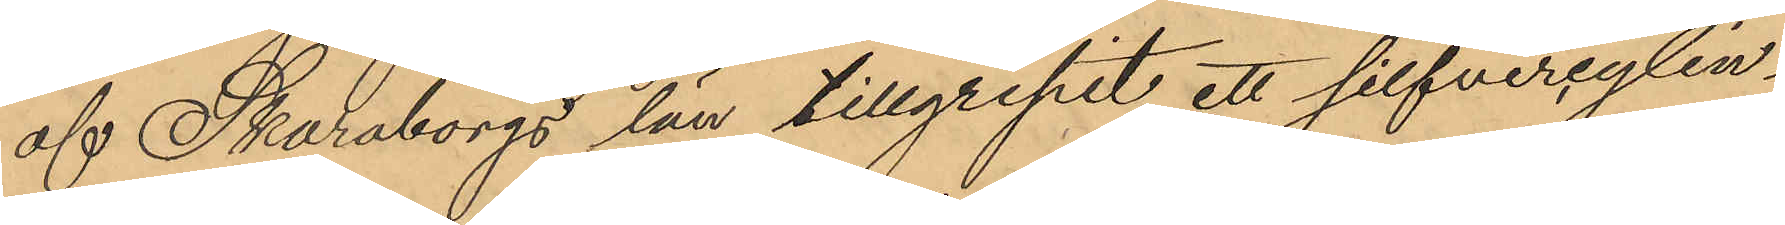af Skaraborgs län tillgripit ett silfvercylin¬
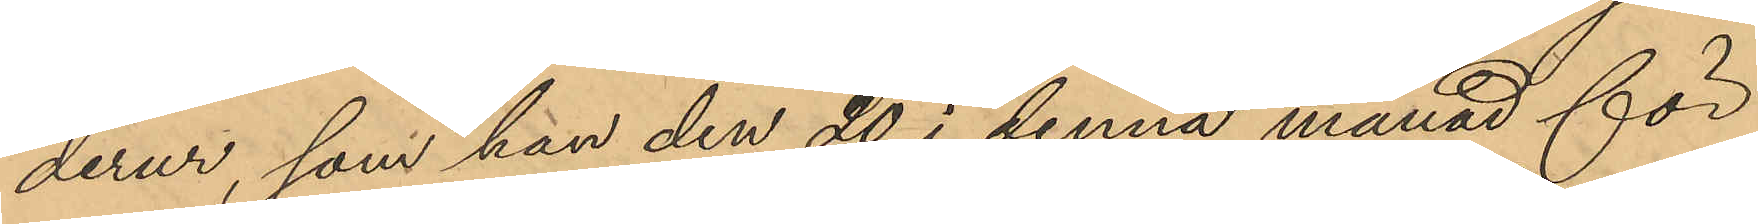derur, som han den 20 i denna månad för
